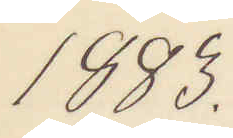1883.
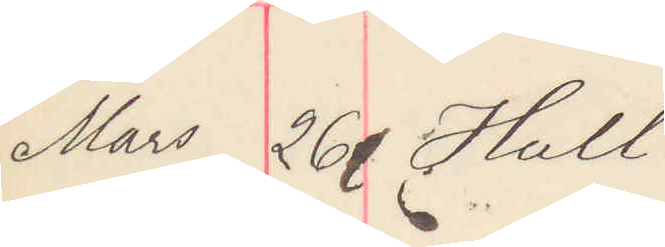Mars 26 Hull.
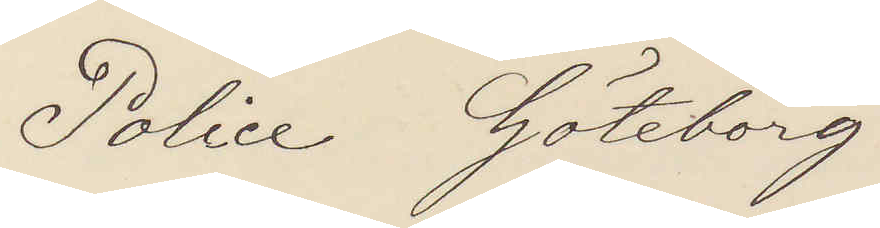Police Göteborg
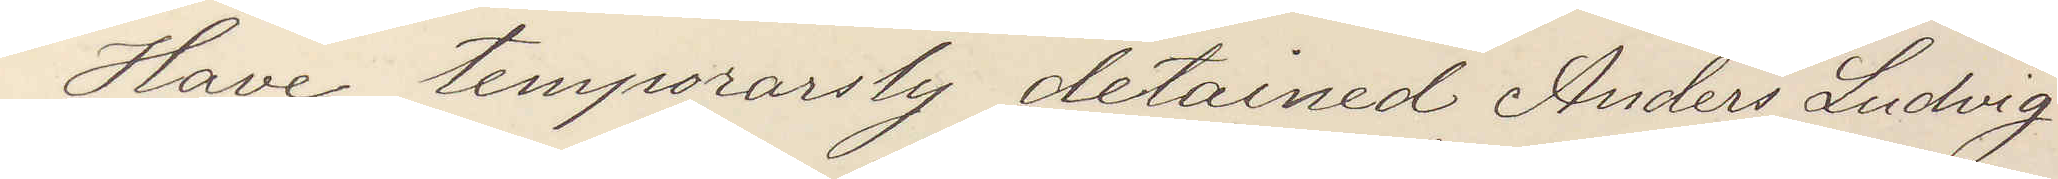Have temporarily detained Anders Ludvig
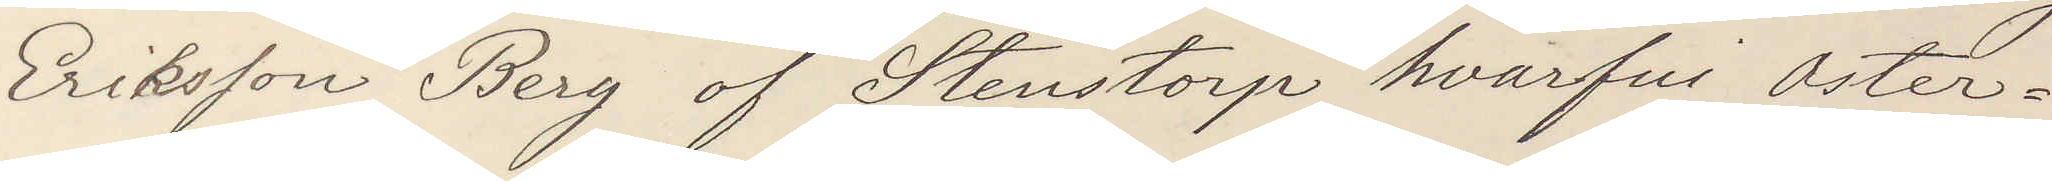Eriksson Berg of Stenstorp hvarfui Oster¬
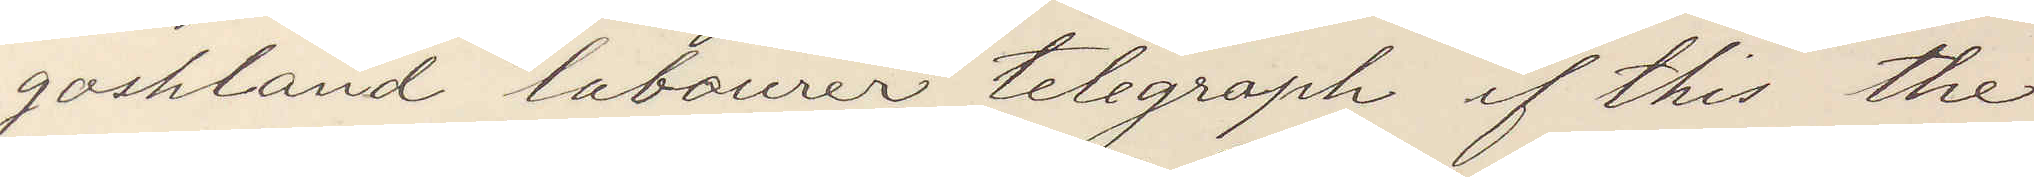goshland labourer telegraph if this the
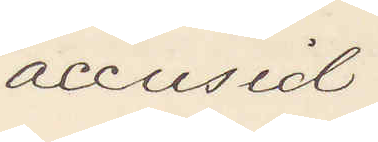accused.
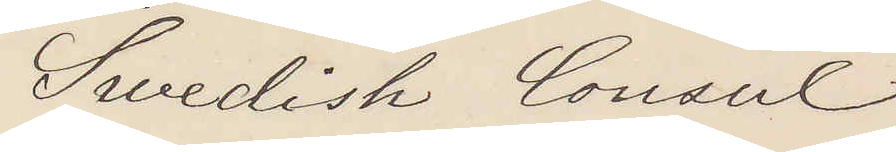Swedish Consul
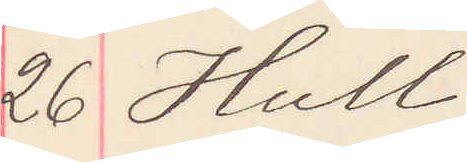26 Hull
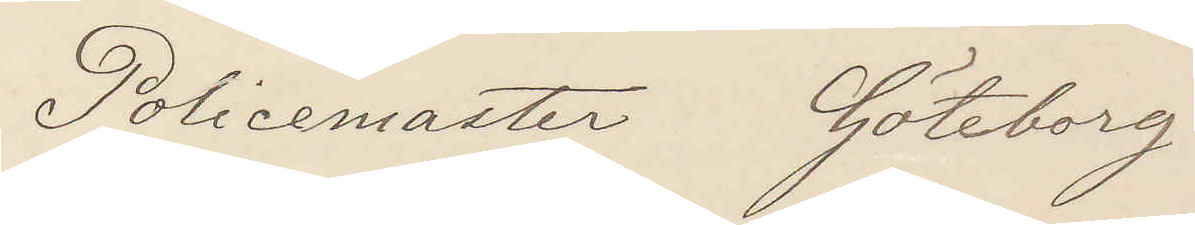Policemaster Göteborg
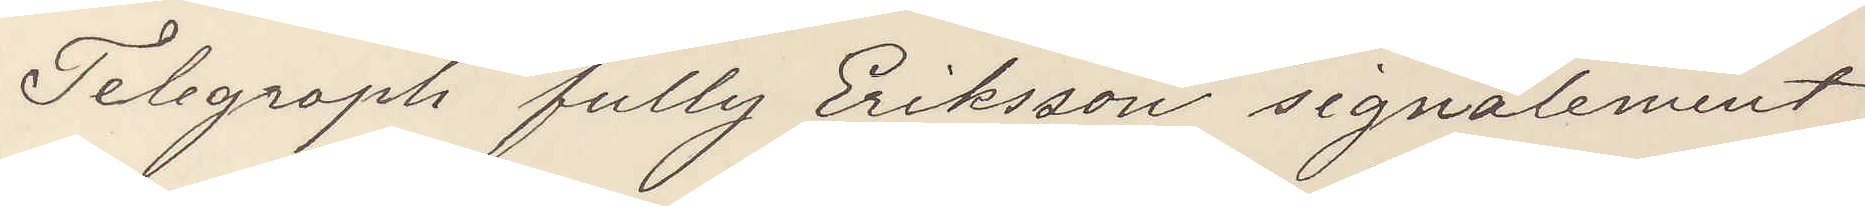Telegraph fully Eriksson signalement
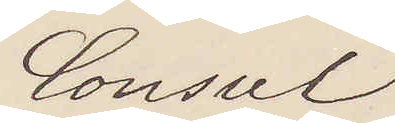Consul
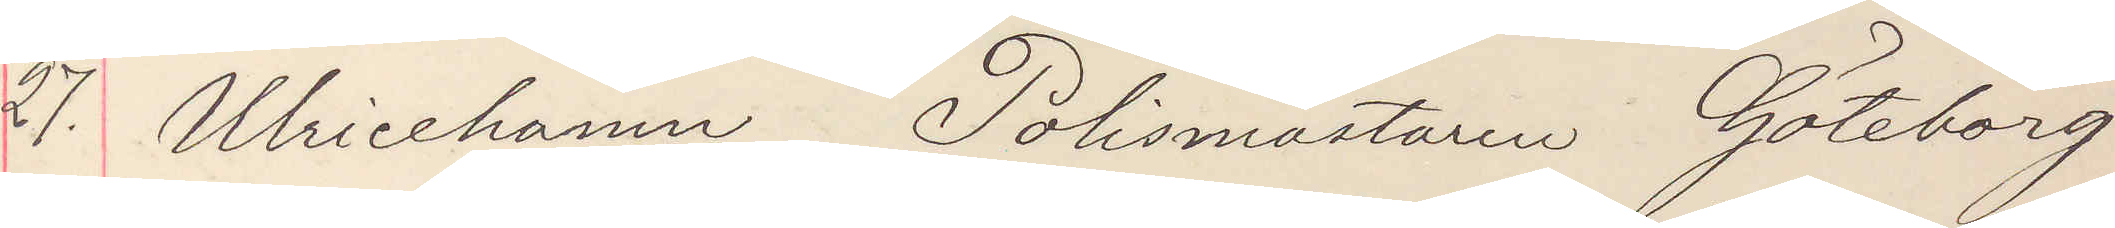27. Ulricehamn Polismästaren Göteborg
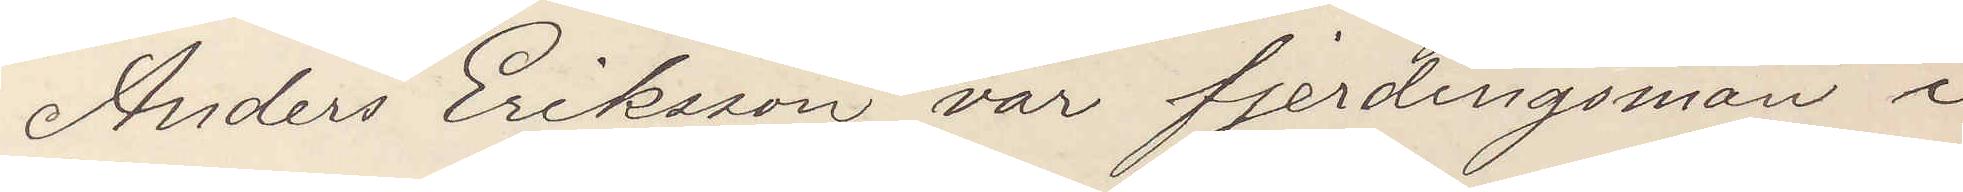Anders Eriksson var fjerdingsman i
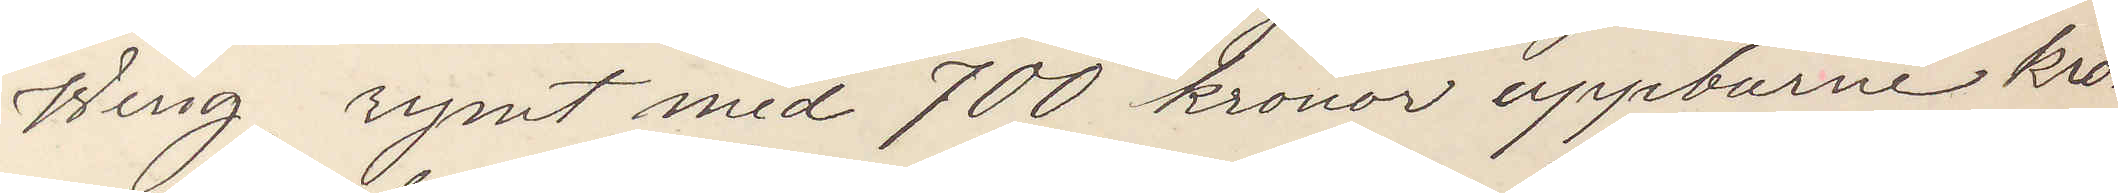Wing, rymt med 700 kronor uppburne kro¬
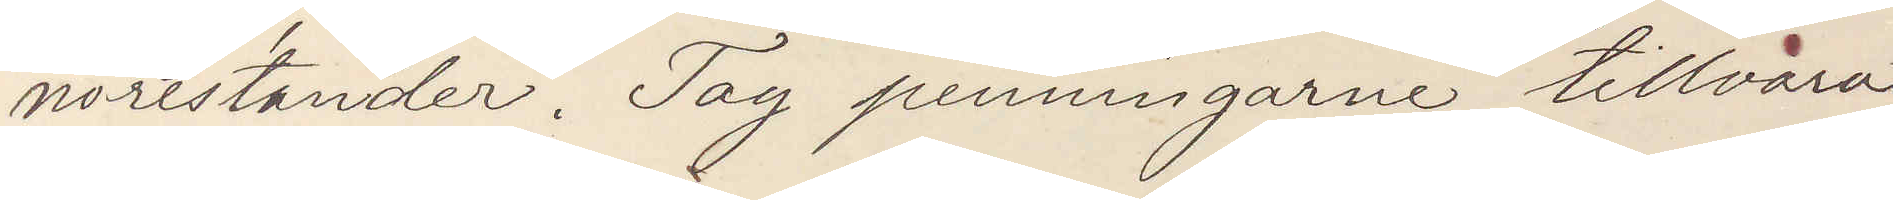norestander. Tag penningarne tillvara
